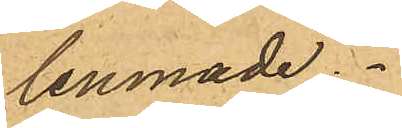lemnade.
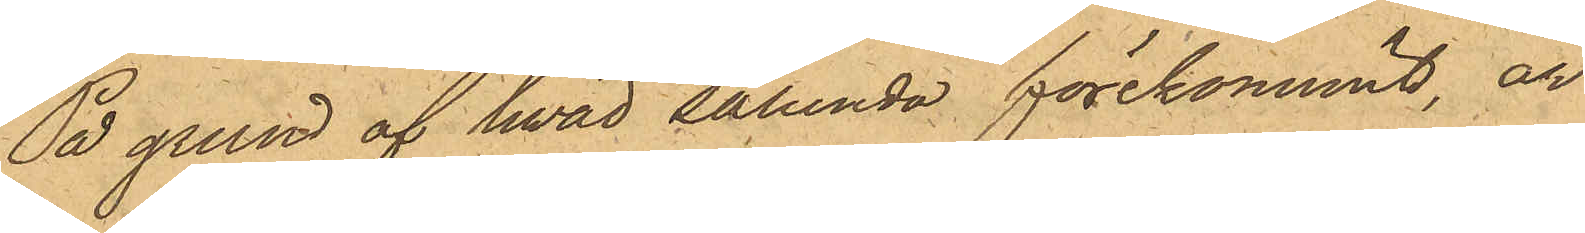På grund af hvad sålunda förekommit, är
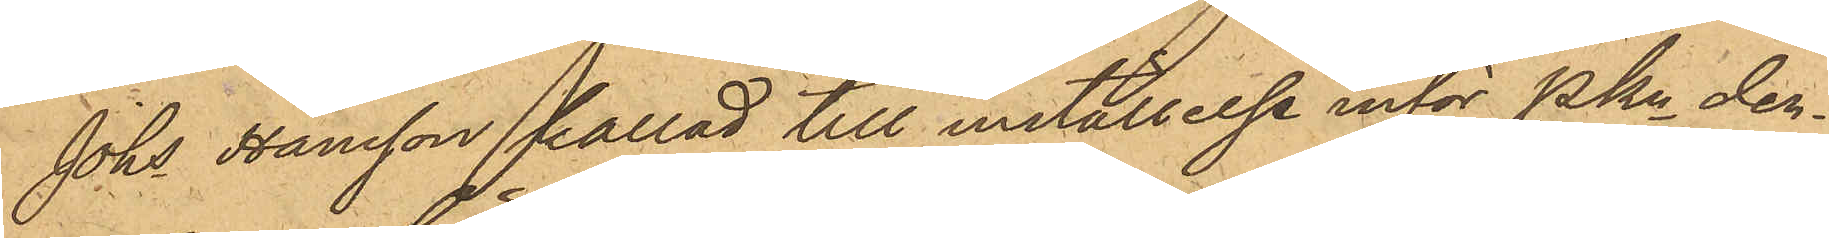Johs Hansson kallad till inställelse inför PKn den¬
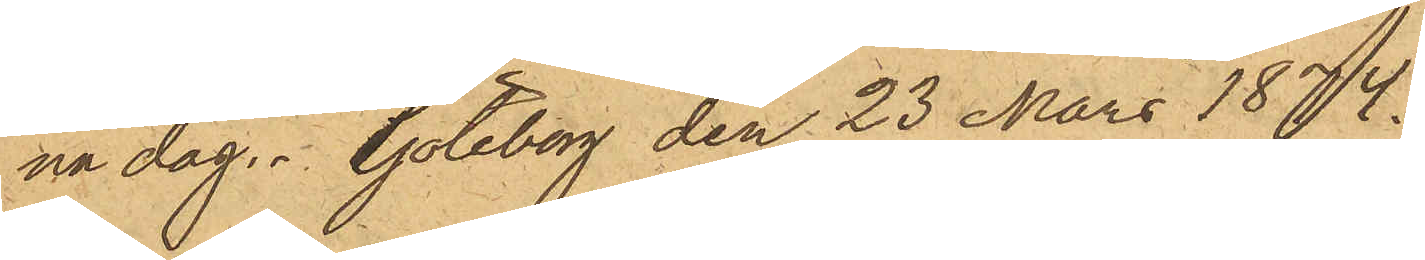na dag. Göteborg den 23 Mars 1874.
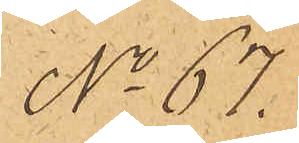No 67.
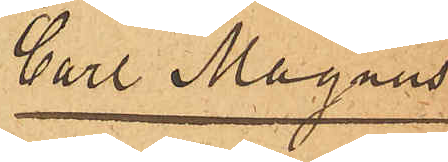Carl Magnus
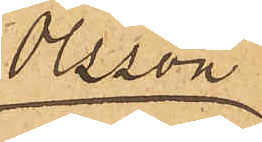Olsson
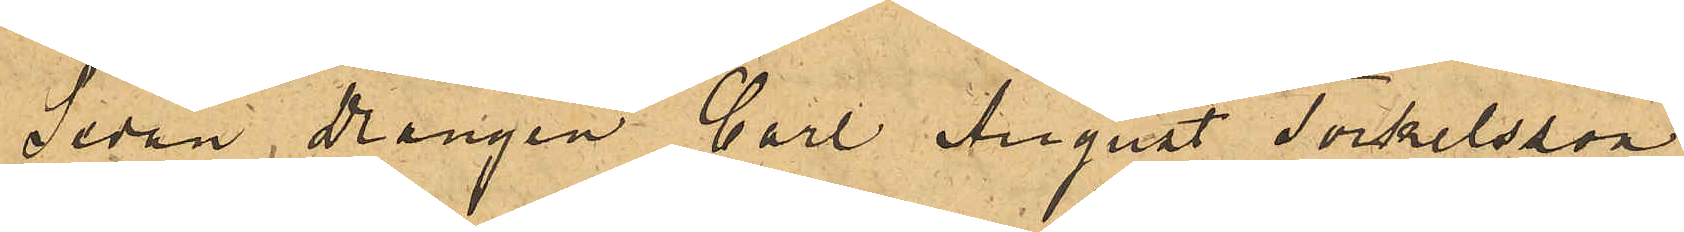Sedan Drängen Carl August Torkelsson
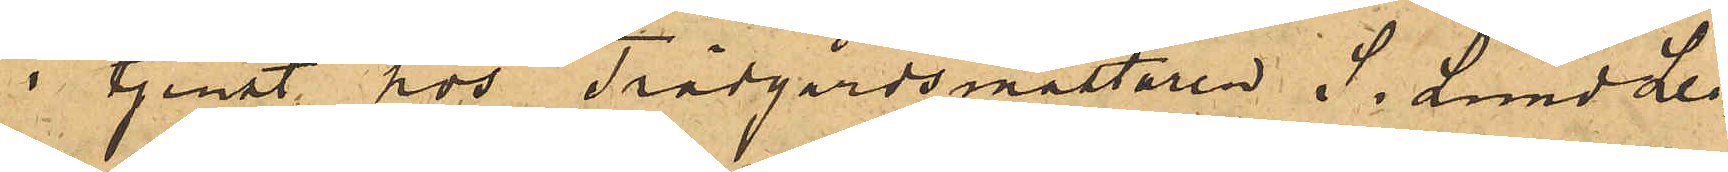i tjenst hos Trädgårdsmästaren S. Lund Lei¬
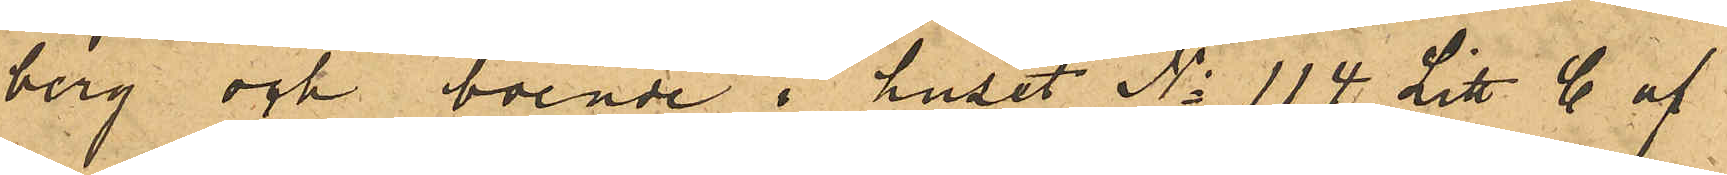berg och boende i huset No 114 Litt C af
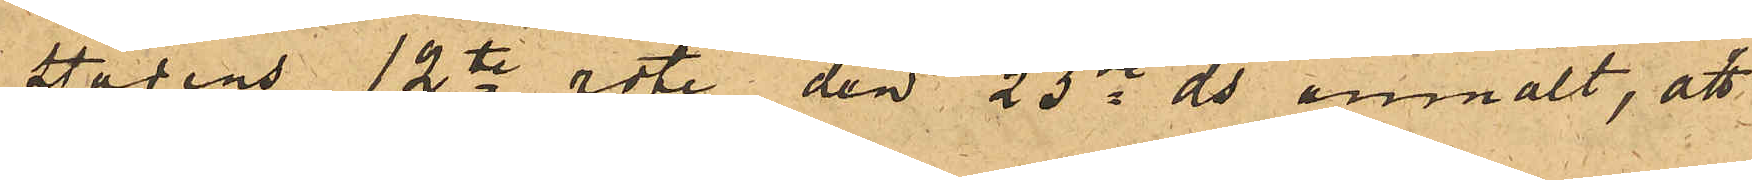stadens 12te rote den 23de ds anmält, att
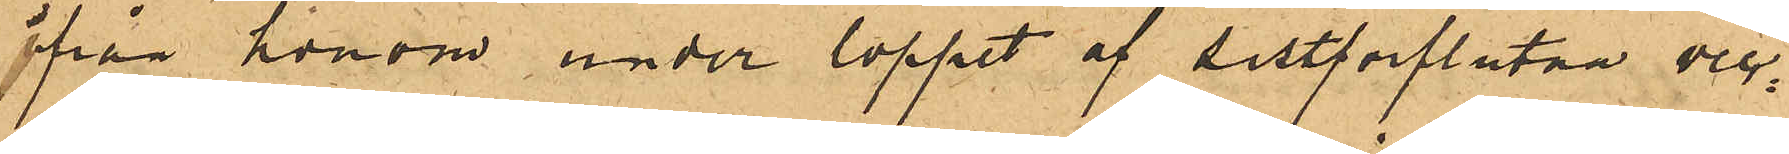ifrån honom under loppet af sistförflutna vec¬
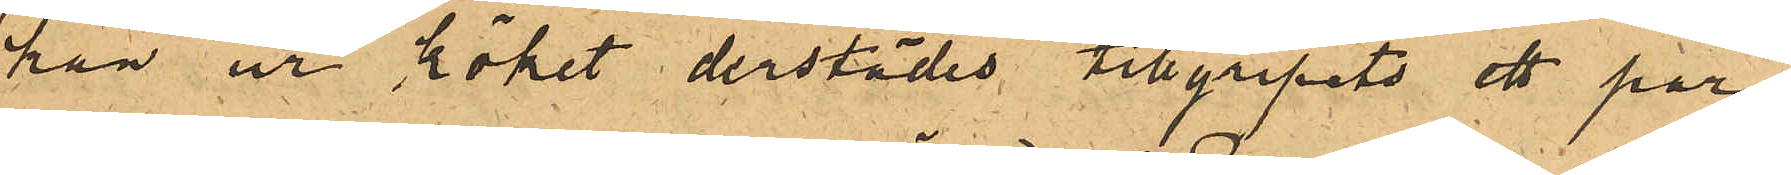kan ur köket derstädes tillgripits ett par
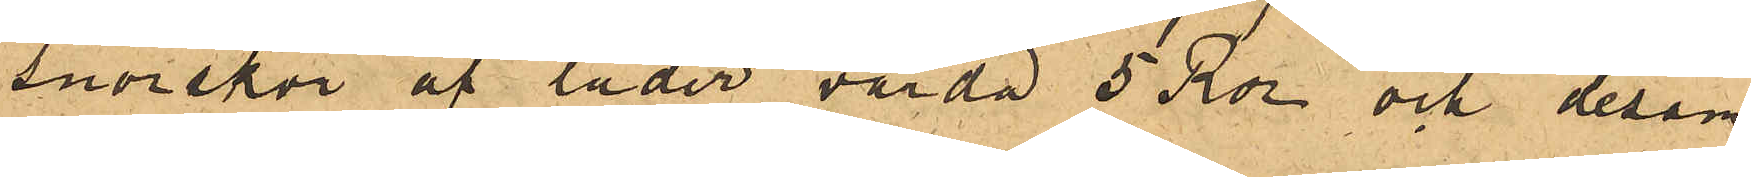snörskor af läder värda 5 Rdr och desam¬
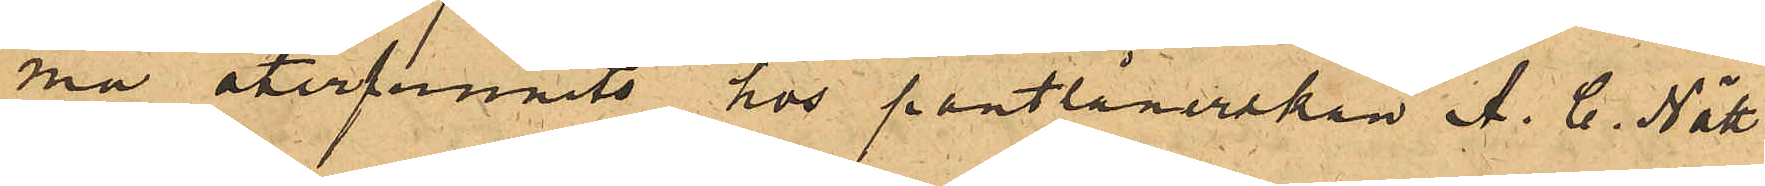ma återfunnits hos pantlånerskan A. C. Nätt
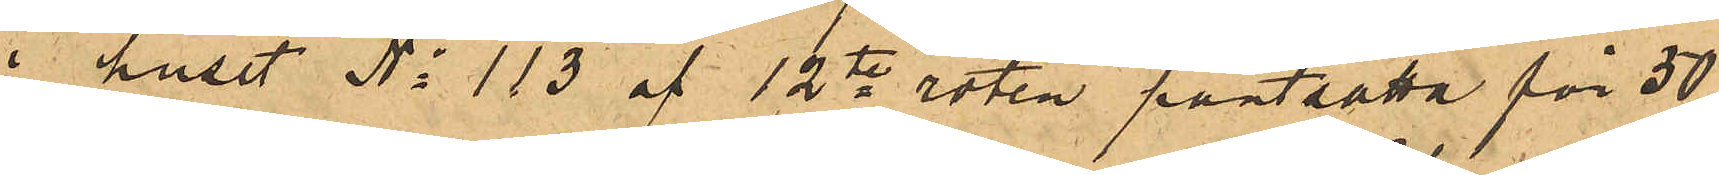i huset No 113 af 12te roten pantsatta för 50
